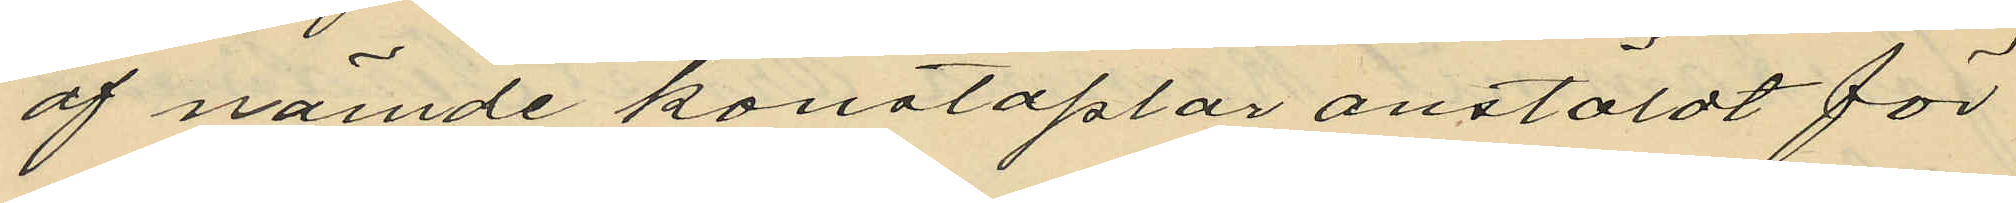af nämde konstaplar anstäldt för
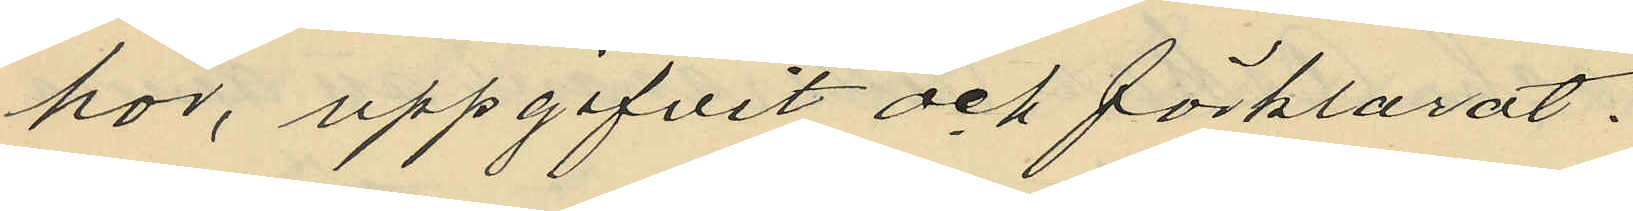hör, uppgifvit och förklarat:
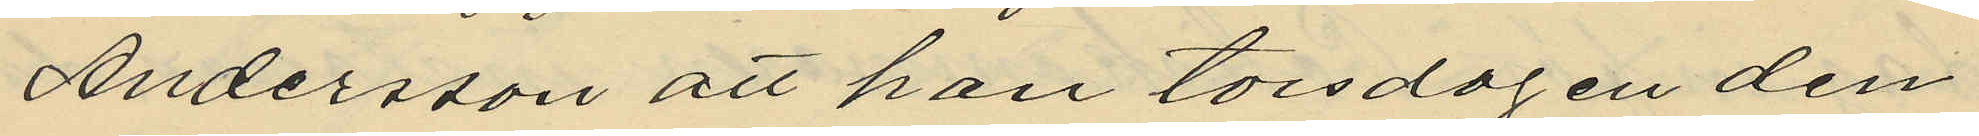Andersson att han torsdagen den
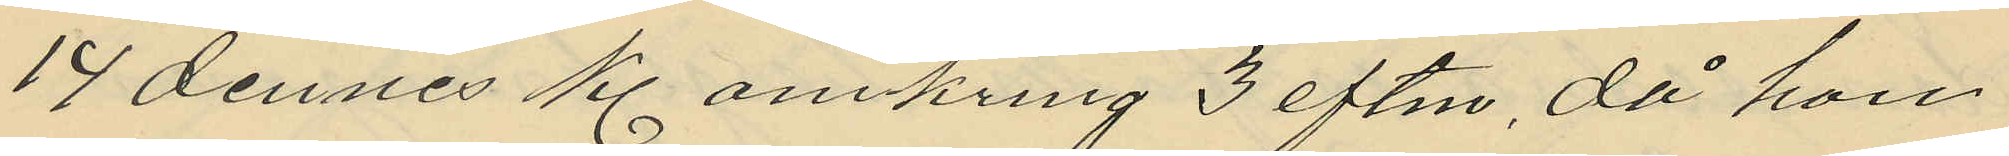14 dennes kl omkring 3 eftm, då han
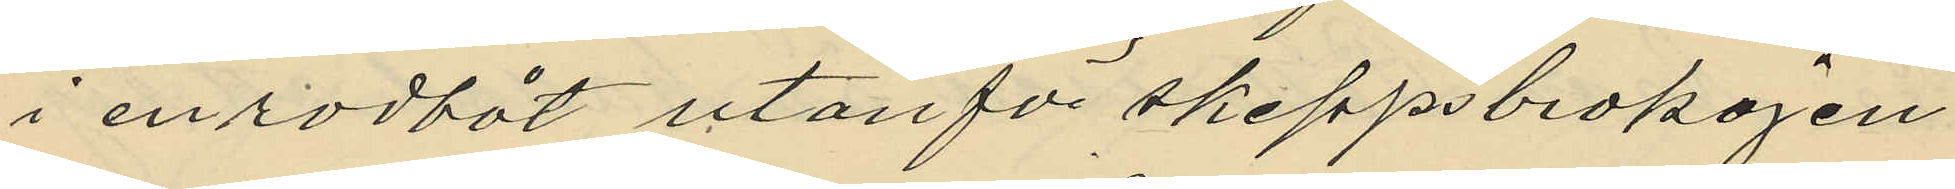i en rodbåt utanför skeppsbrokajen
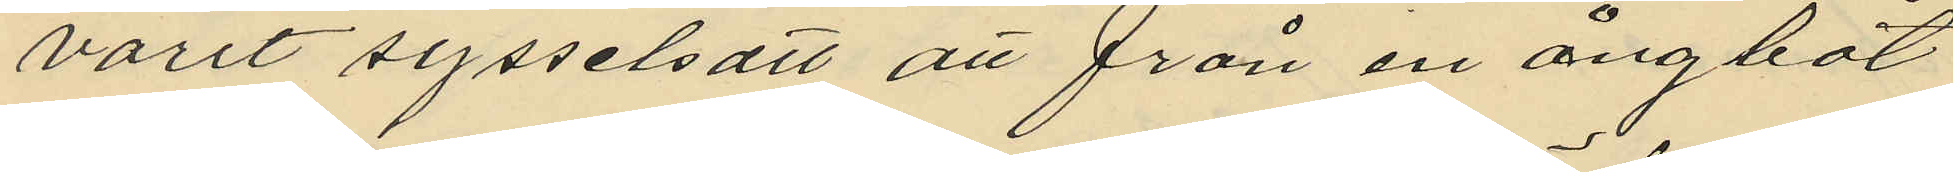varit sysselsatt att från en ångbåt
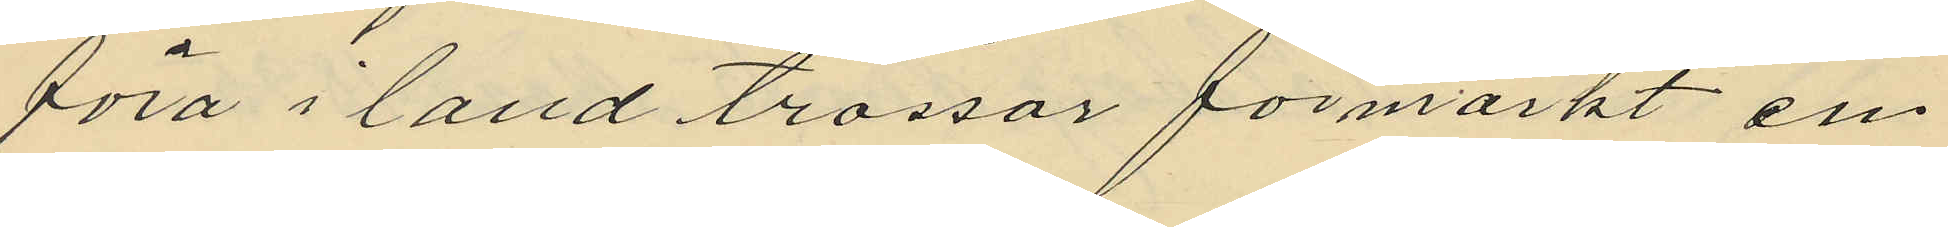föra i land trossor förmärkt en
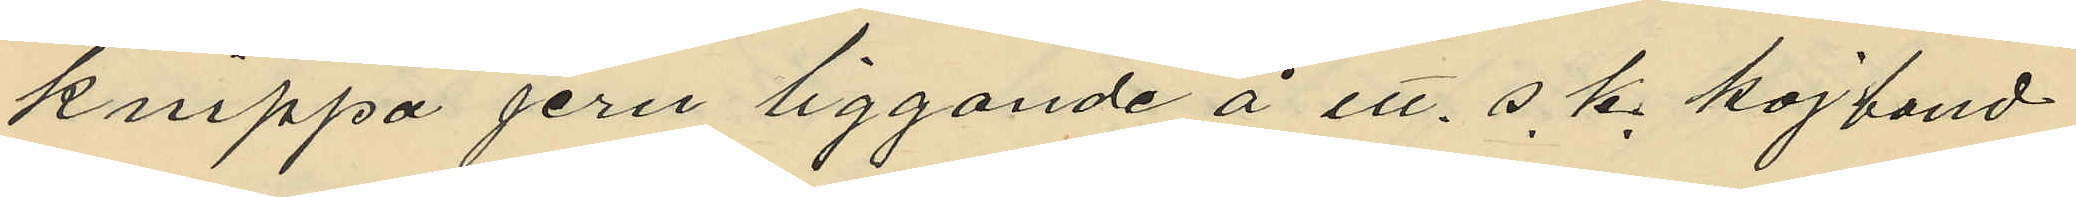knippa jern liggande å ett. s. k. kojband
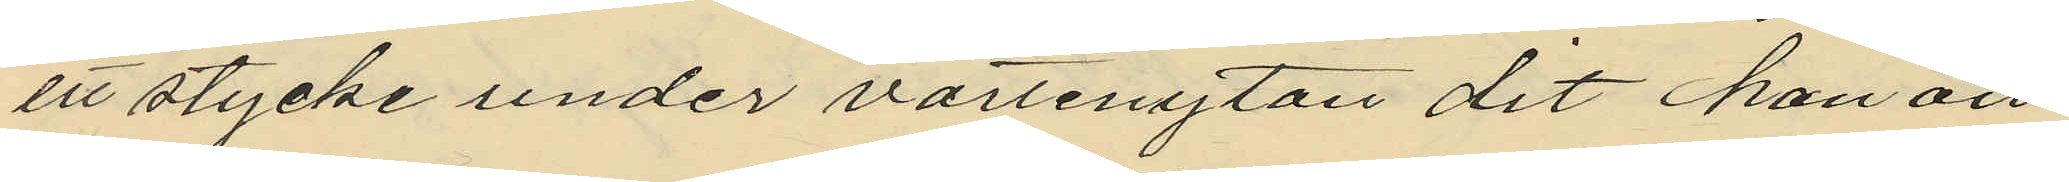ett stycke under vattenytan dit han an¬
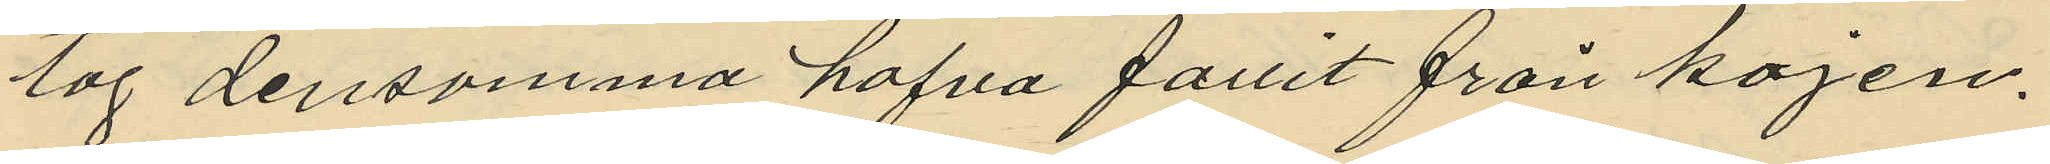tog densamma hafva fallit från kajen.
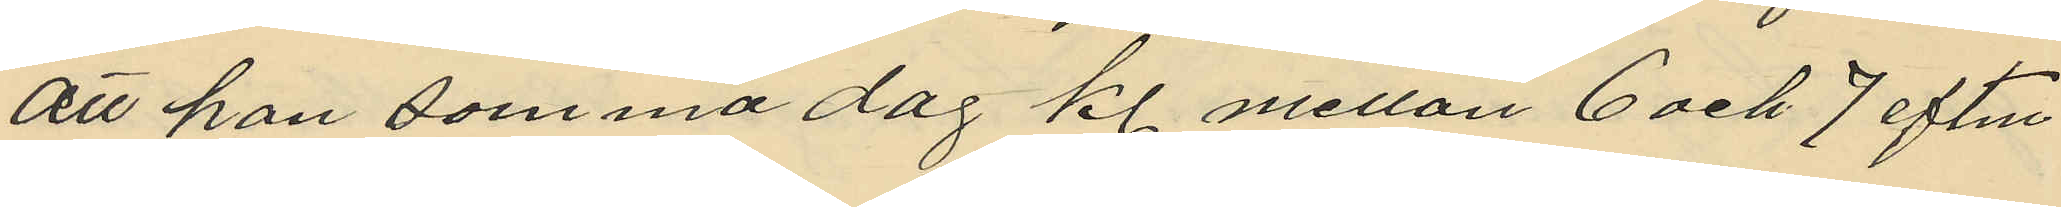att han samma dag kl. mellan 6 och 7 eftm
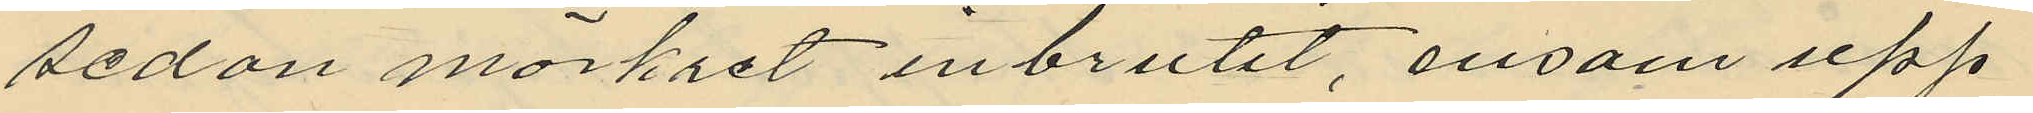sedan mörkret inbrutit, ensam upp¬
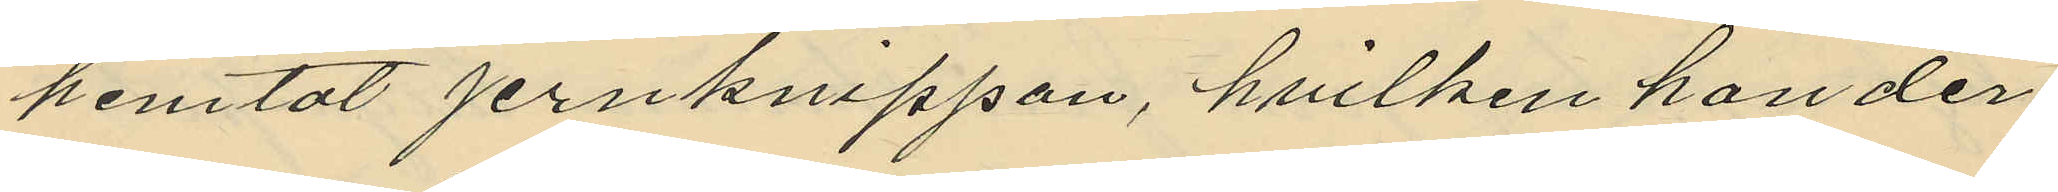hemtat jernknippan, hvilken han der
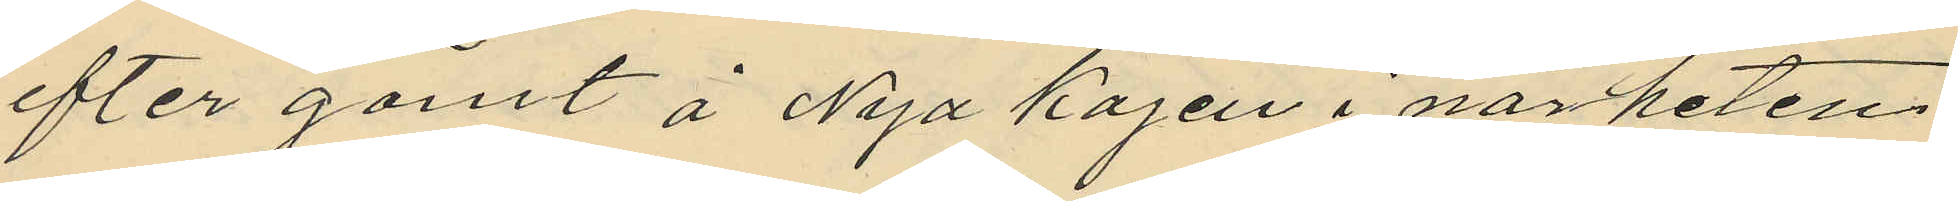efter gömt å Nya kajen i närheten
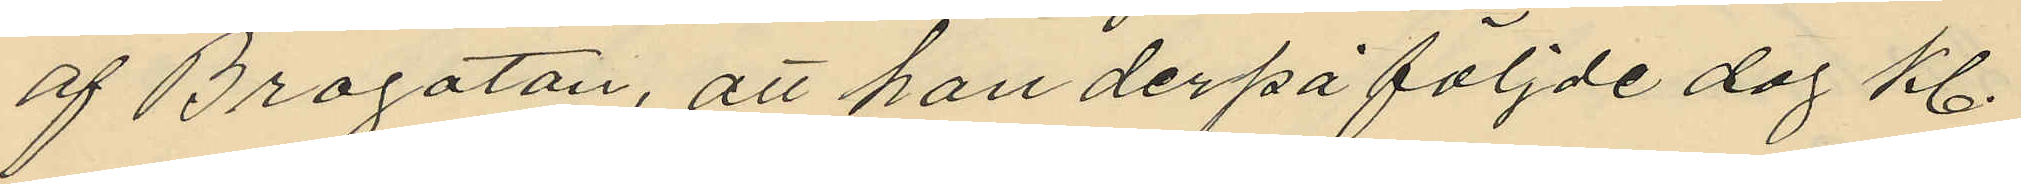af Brogatan, att han derpå följde dag kl.
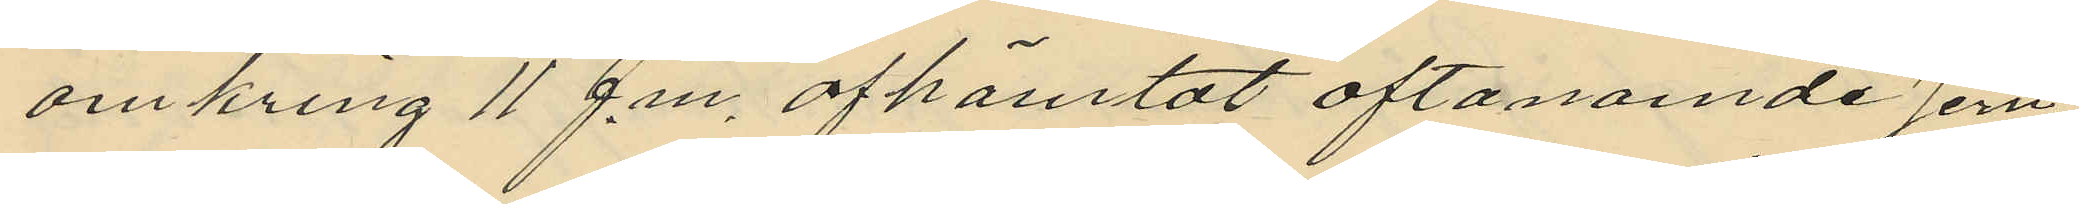omkring 11 f.m. afhämtat oftanamde jern¬
